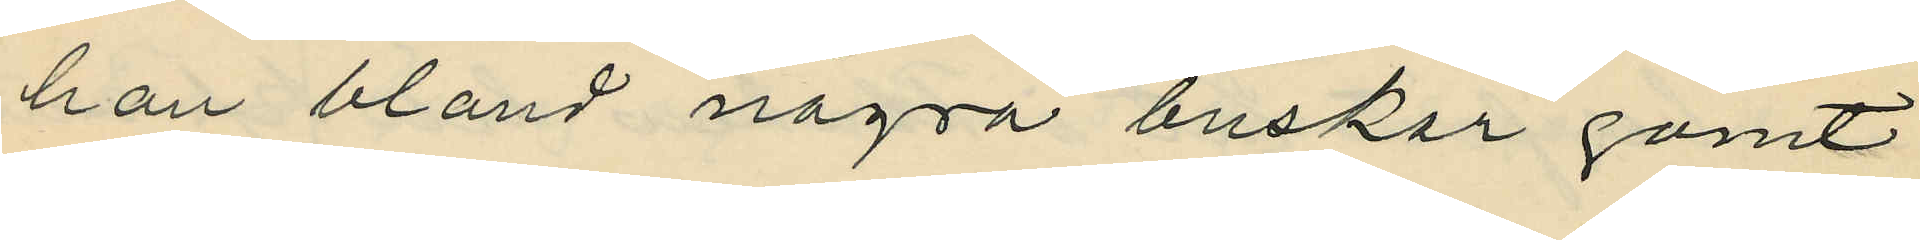han bland några buskar gömt
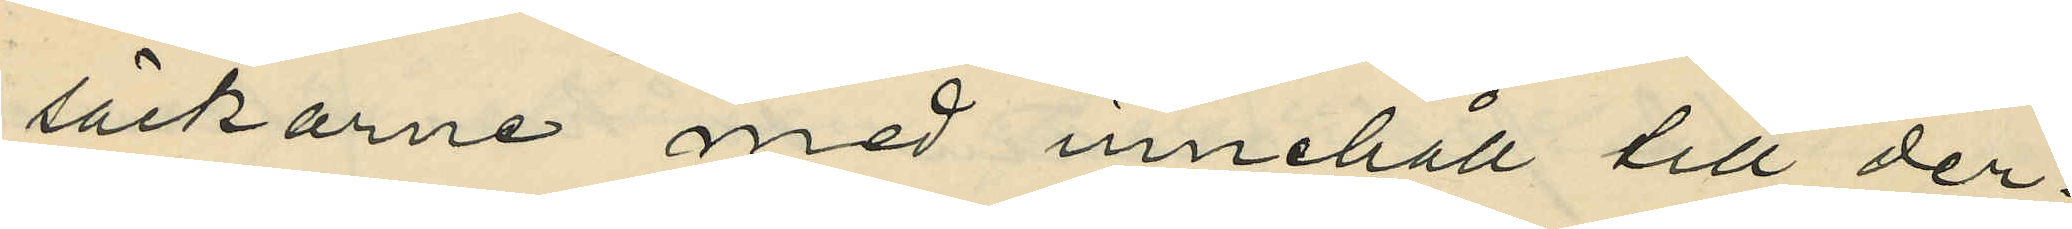säckarne med innehåll till der¬
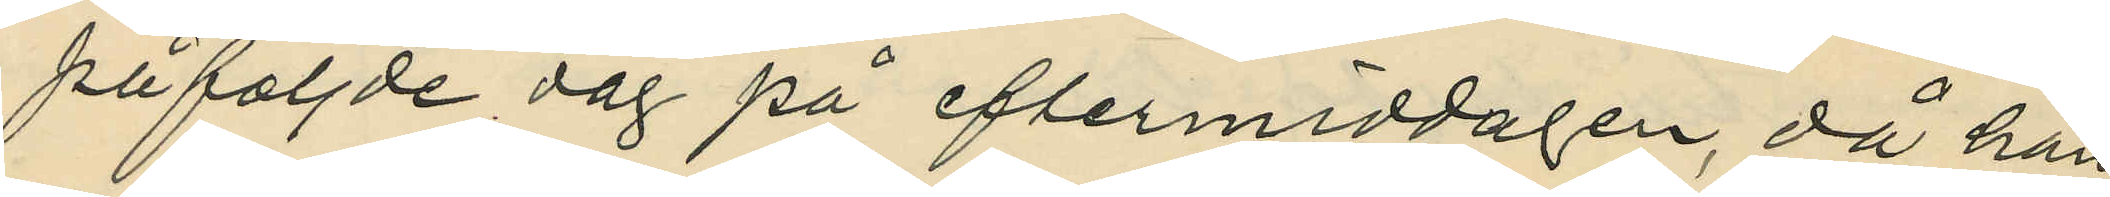påföljde dag på eftermiddagen, då han
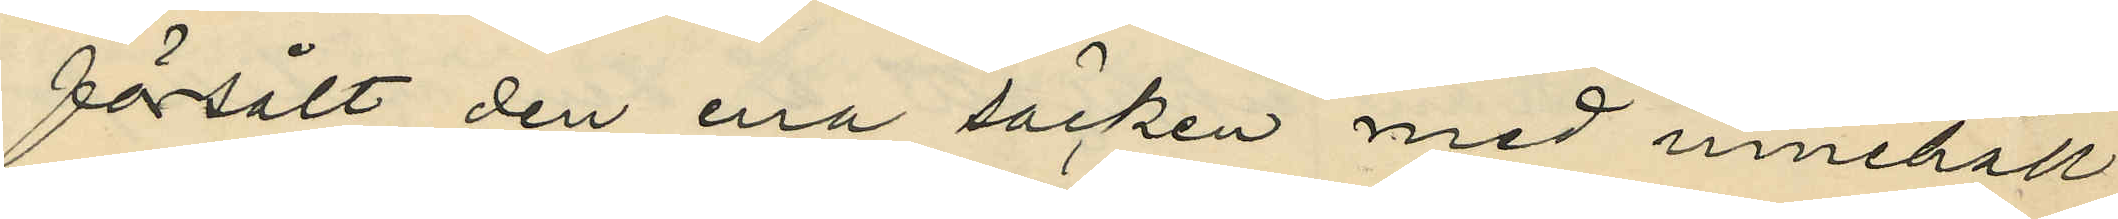försålt den ena säcken med innehåll
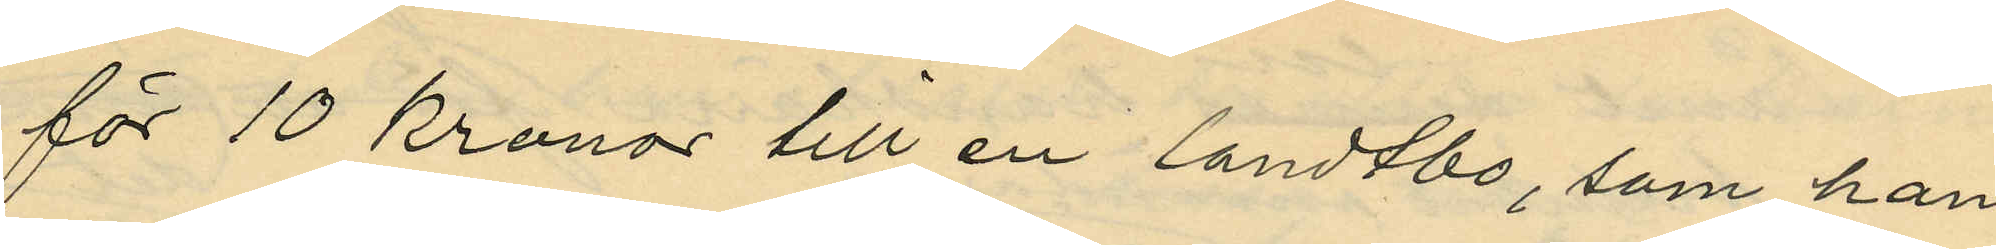för 10 kronor till en landtbo, som han
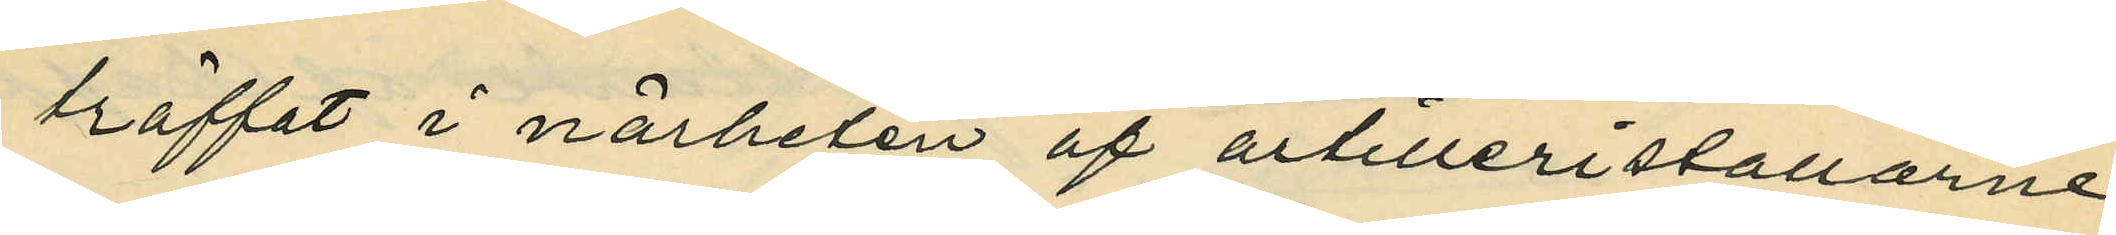träffat i närheten af artilleristallarne
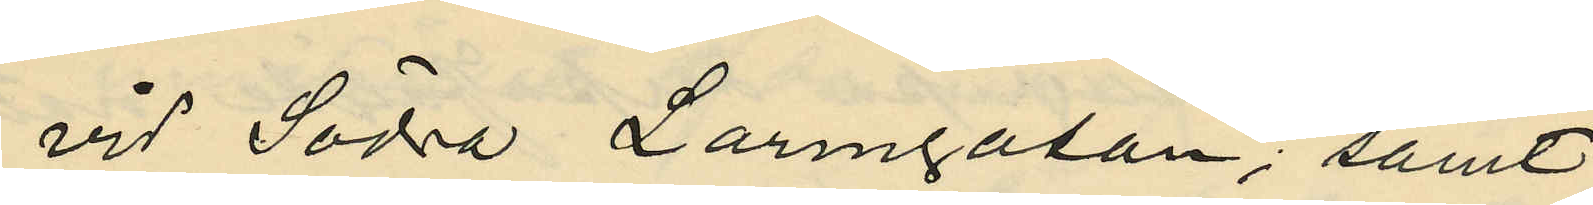vid Södra Larmgatan; samt
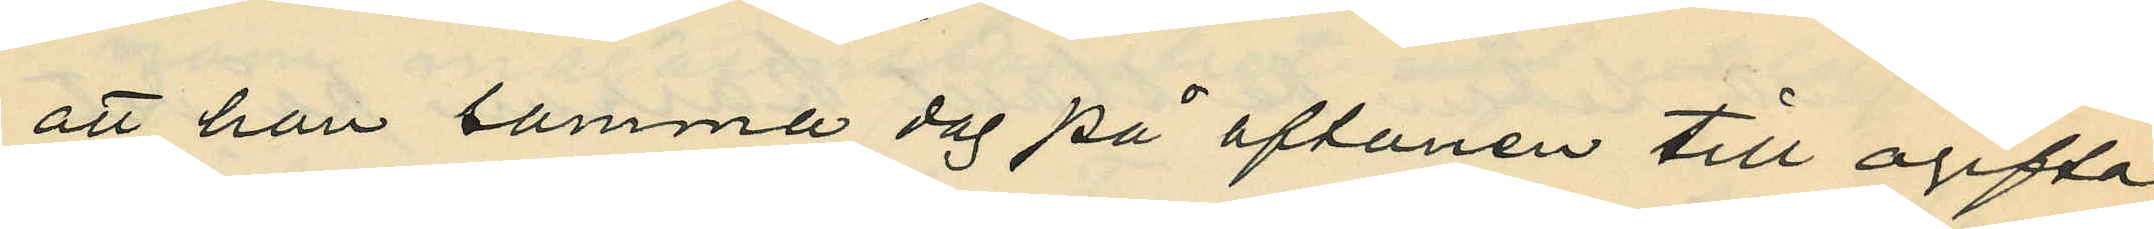att han samma dag på aftonen till ogifta
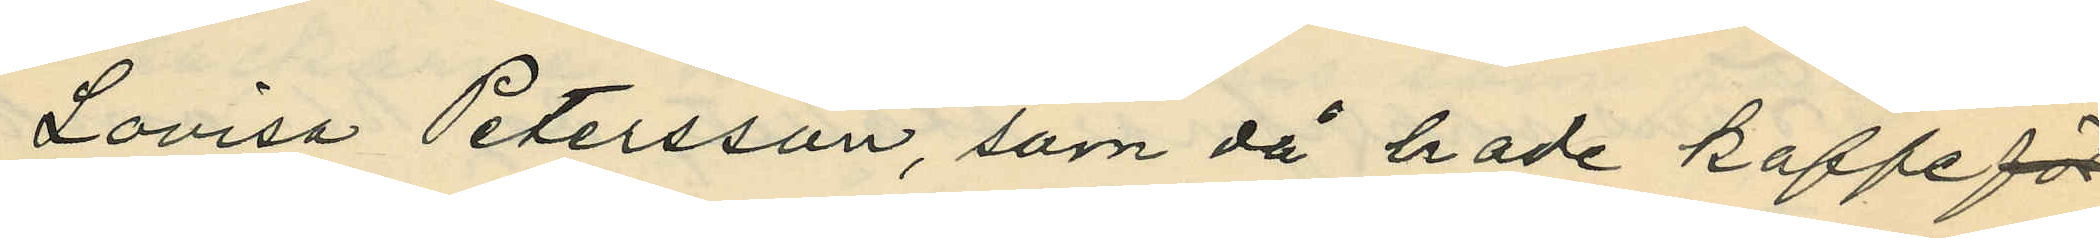Lovisa Petersson, som då hade kaffeför
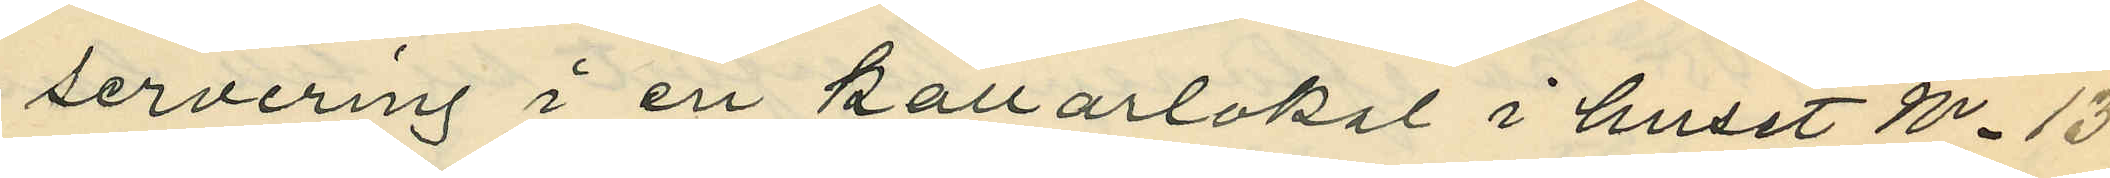servering i en källarlokal i huset No 13
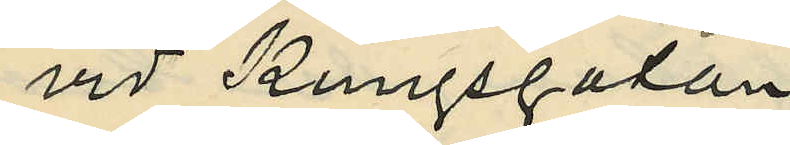vid Kungsgatan
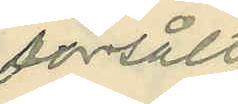försålt
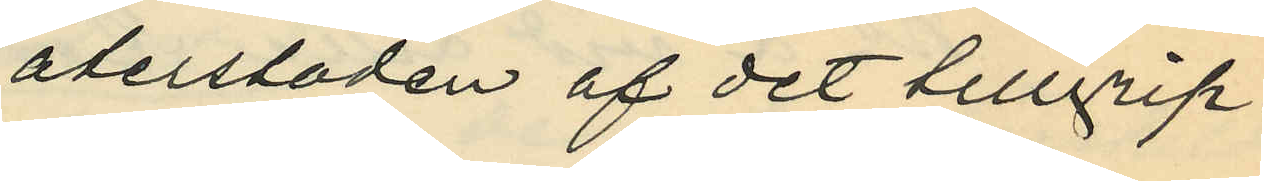återstoden af det tillgrip¬
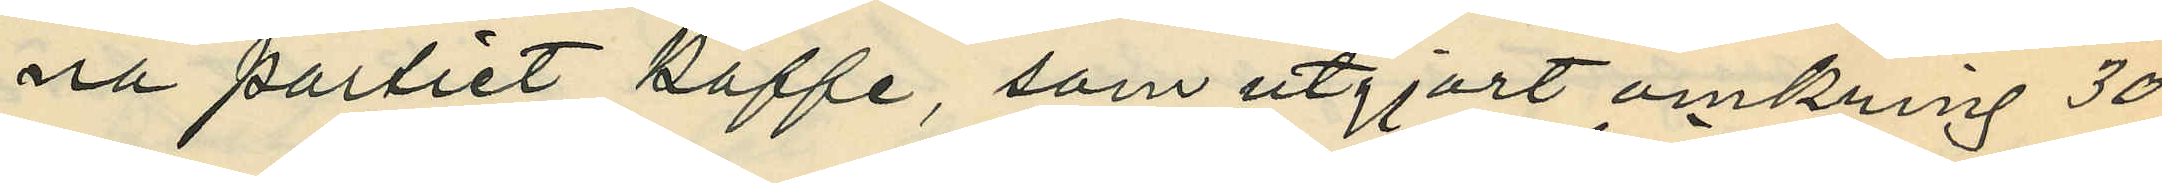na partiet kaffe, som utgjort omkring 30
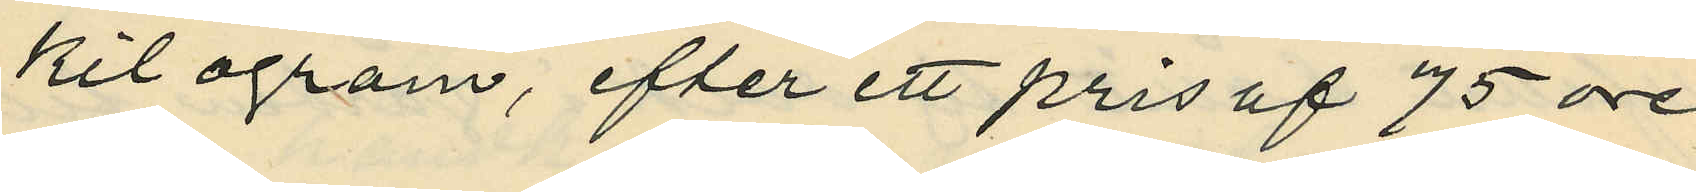kilogram, efter ett pris af 75 öre
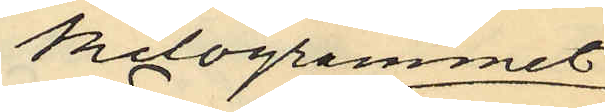kilogrammet
